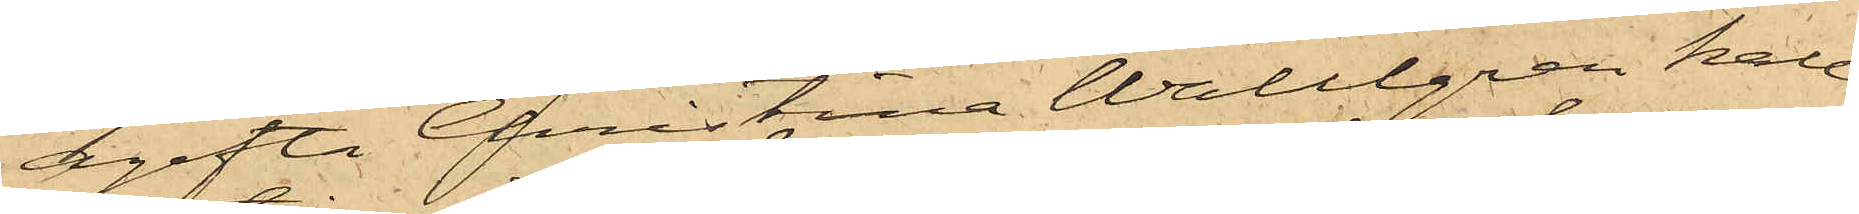ogifta Christina Wallgren kalla¬
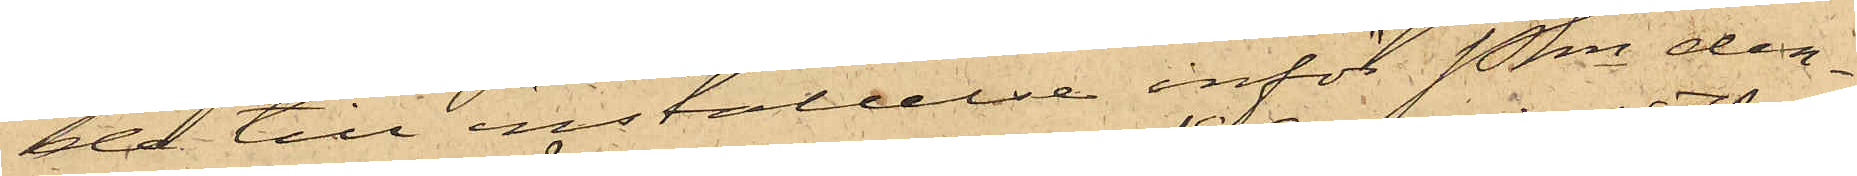de till inställelse inför Pkn der¬
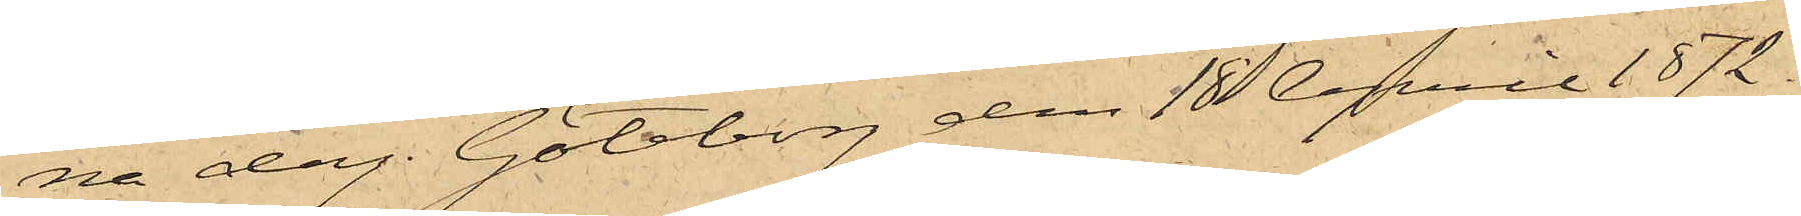na dag. Göteborg den 18 April 1872.
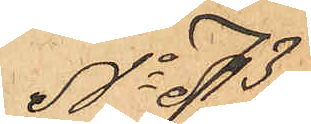No 73
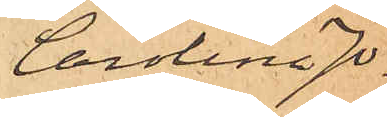Carolina Jo¬
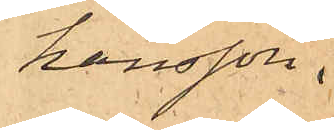hansson.
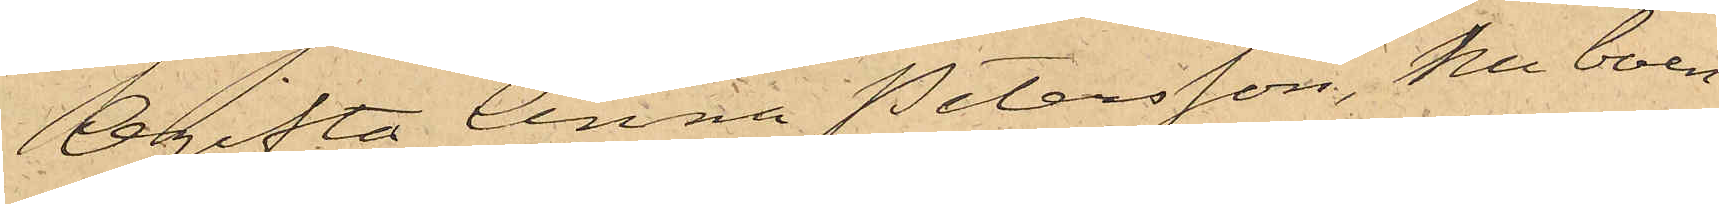Ogifta Anna Petersson, nu boen¬
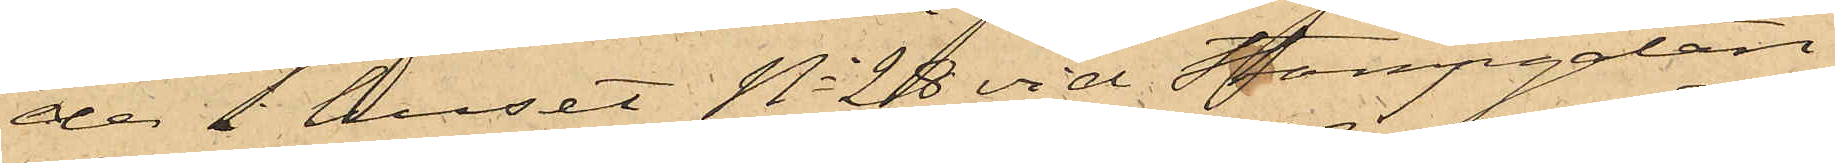de i huset No 28 vid Stampgatan
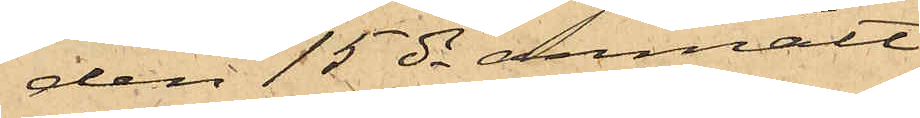den 15 ds anmält
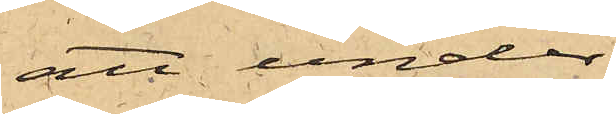att under
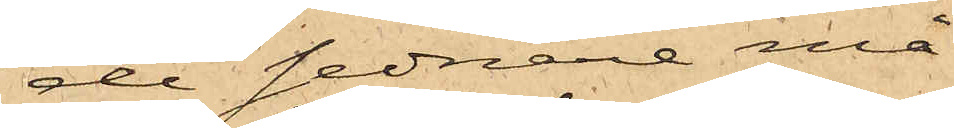de sednare må¬
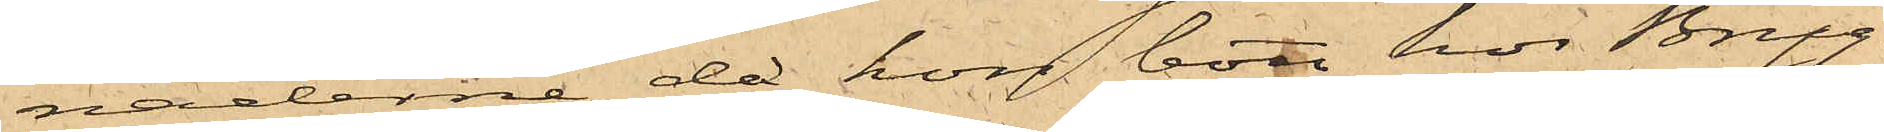naderne, då hon bott hos Bryg¬
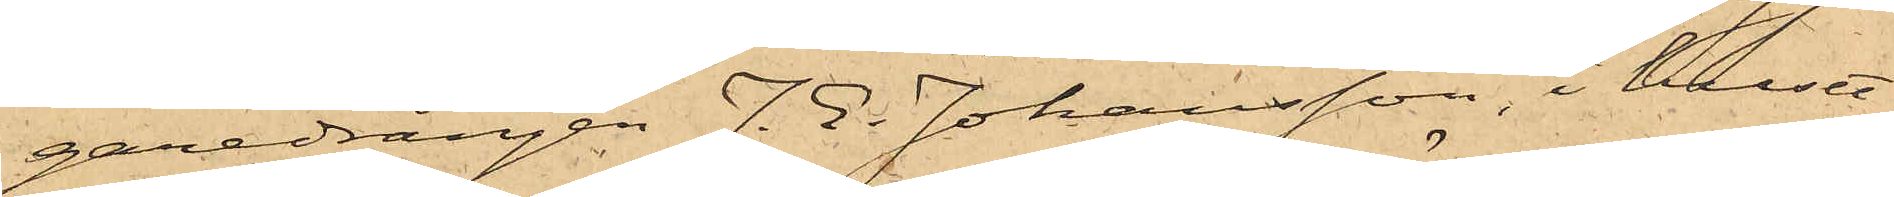garedrängen J. E. Johansson, i huset
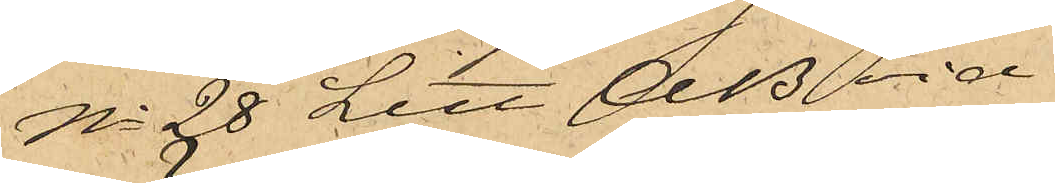No 28 Litt AB vid
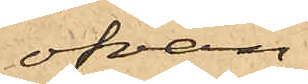ofvan¬
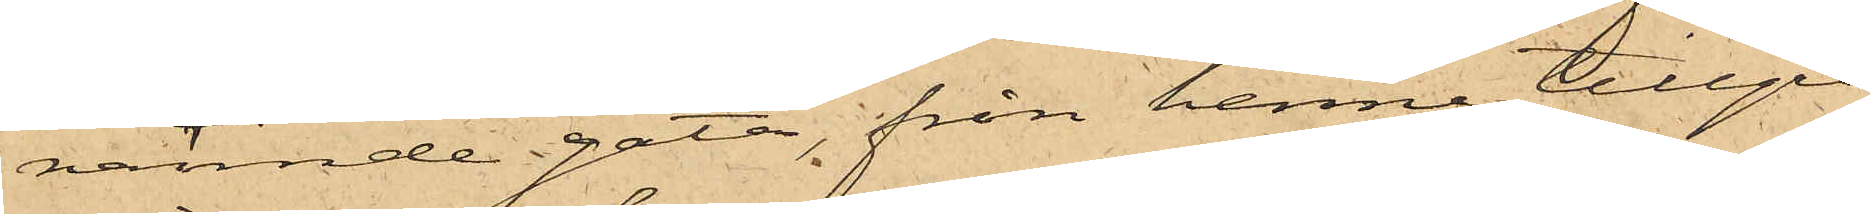nämnde gata, från henne tillgri¬
